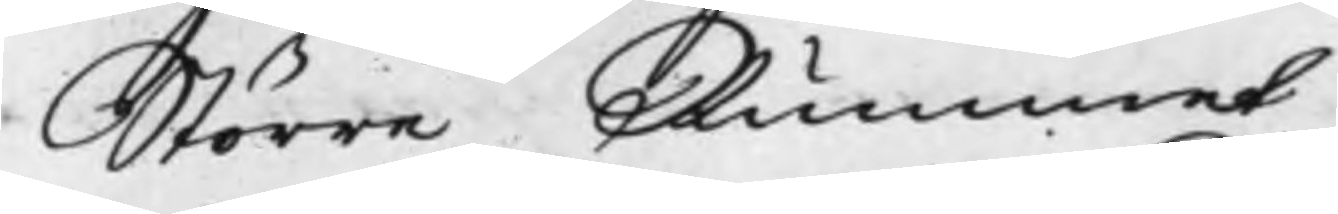Större Rummet
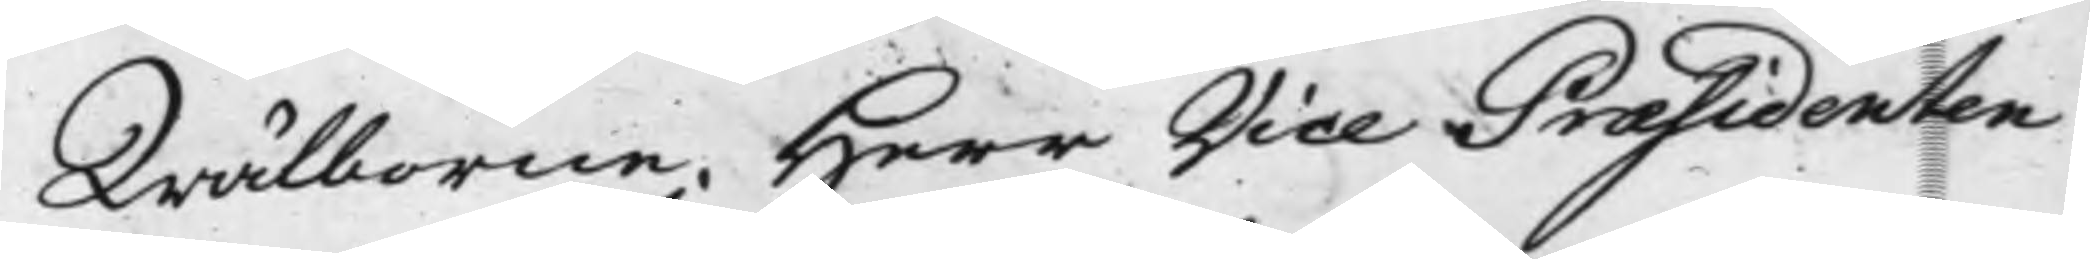Wälborne Herr Vice Præsidenten
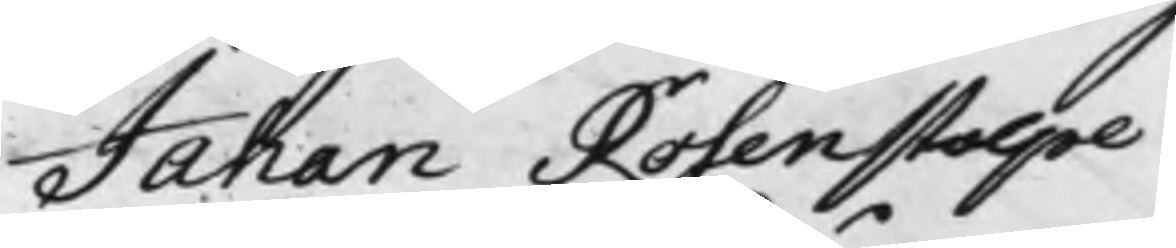Jahan Rosenstolpe
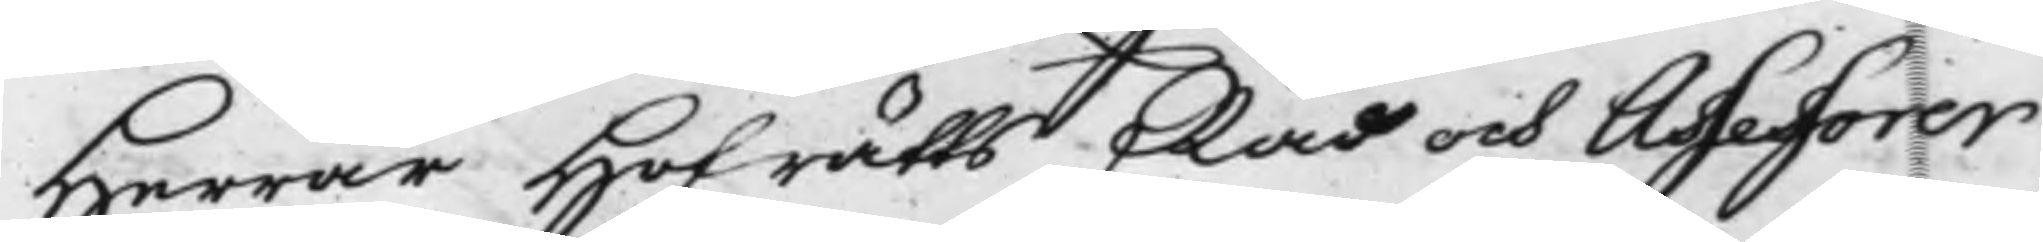Herrar Hofrätts Råd och Assessorer
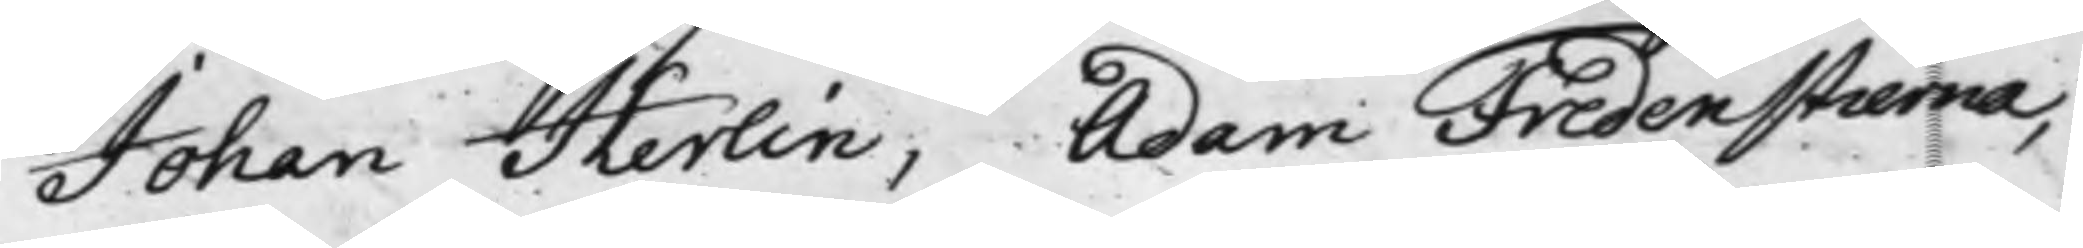Johan Herlin, Adam Fredenstierna,
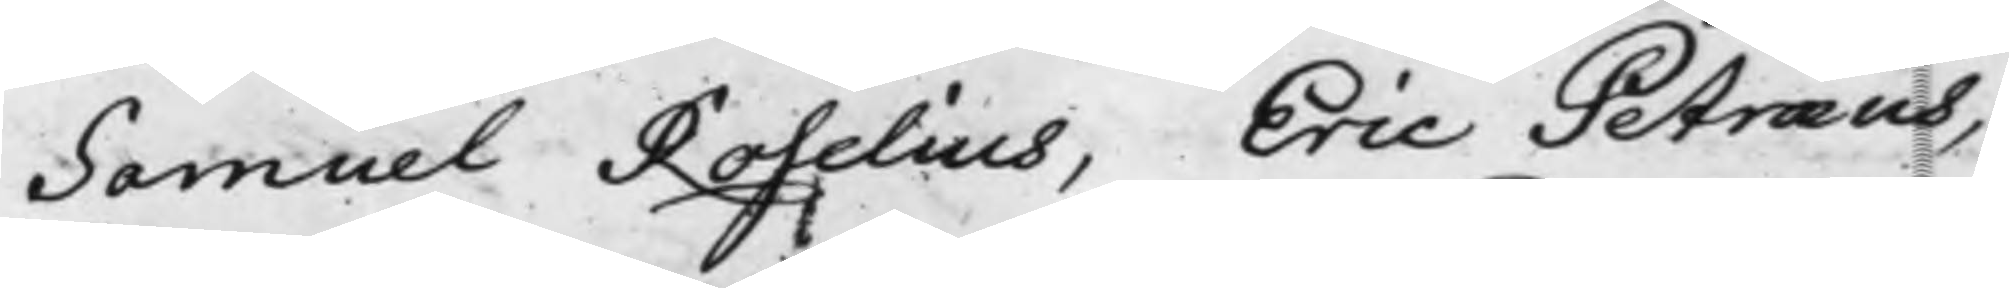Samuel Roselius, Eric Petræus,
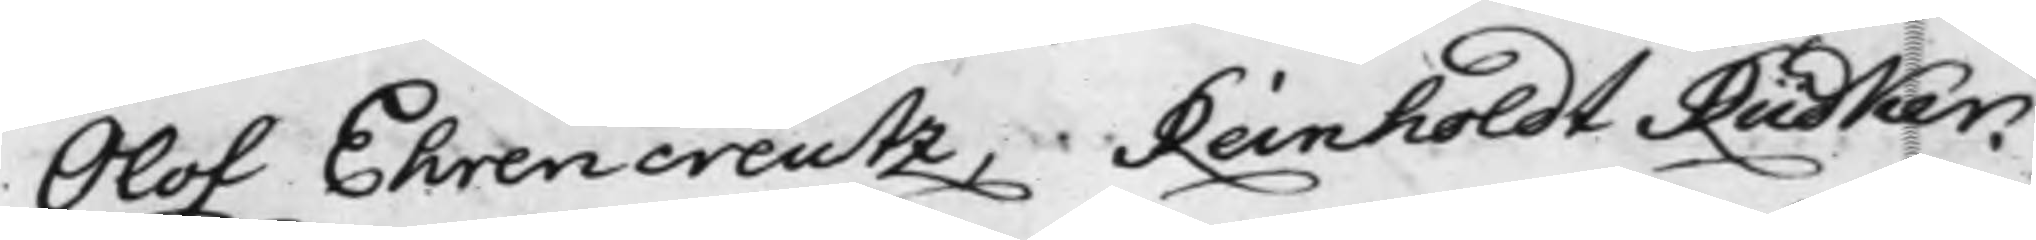Olof Ehrencreutz, Reinholdt Rüdker.
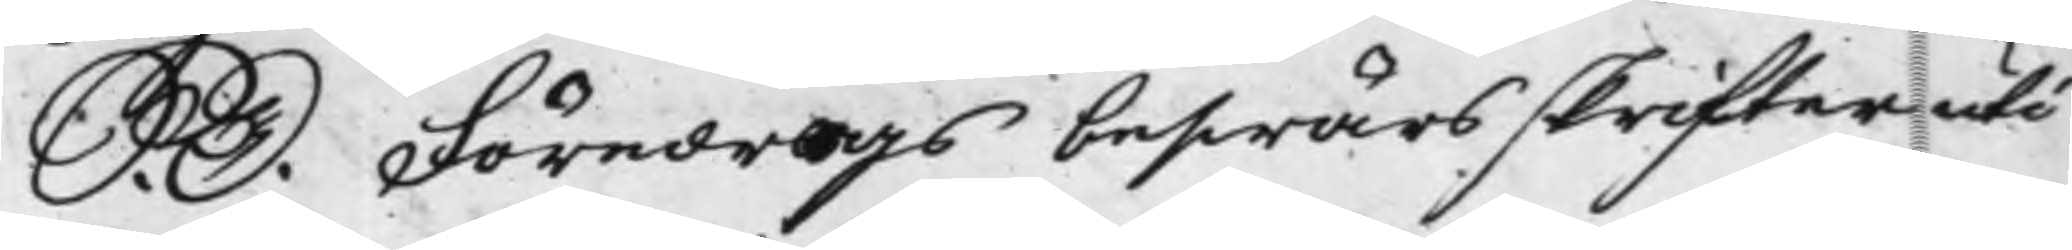S. D. Föredrogs beswärsskrifter uti
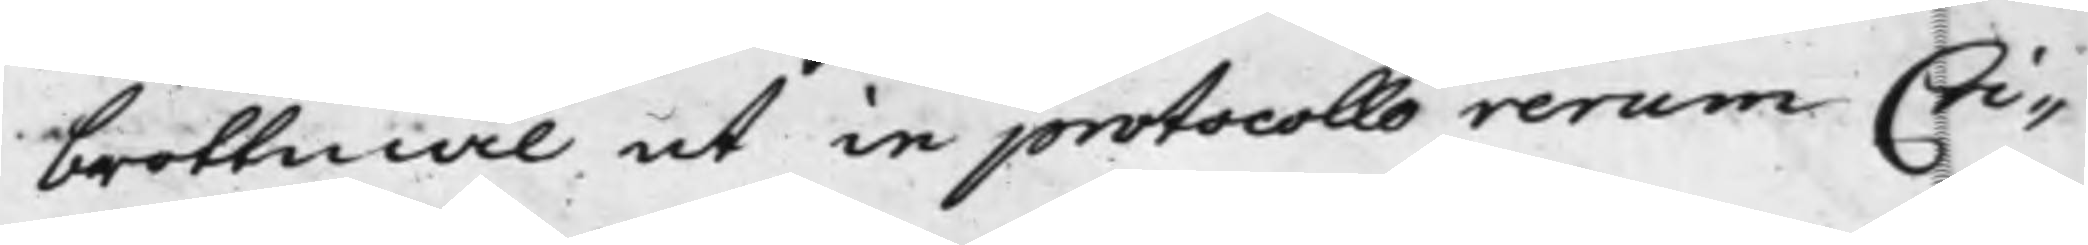brottmål ut in protocollo rerum Cri¬
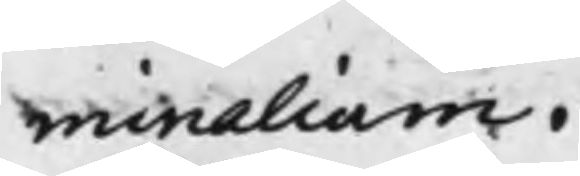minalium.
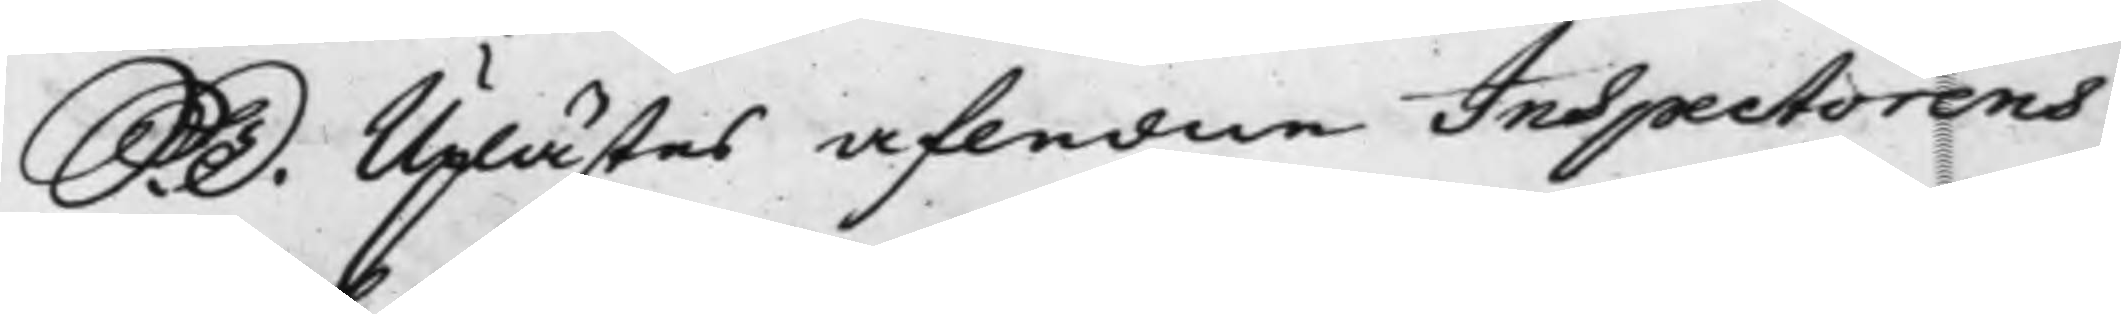S. D. Uplästes afledne Inspectorens
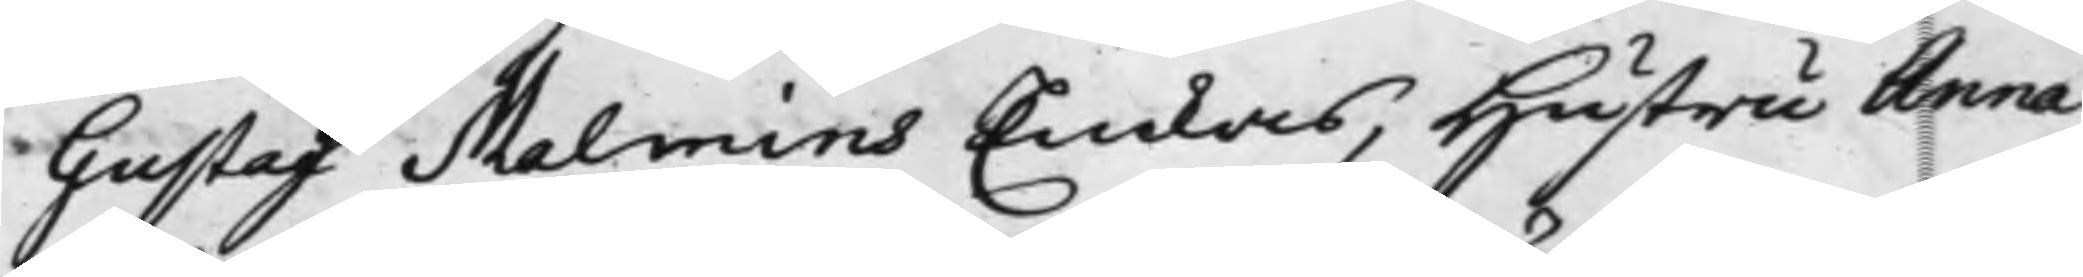Gustaf Malmins Enkas, Hustru Anna
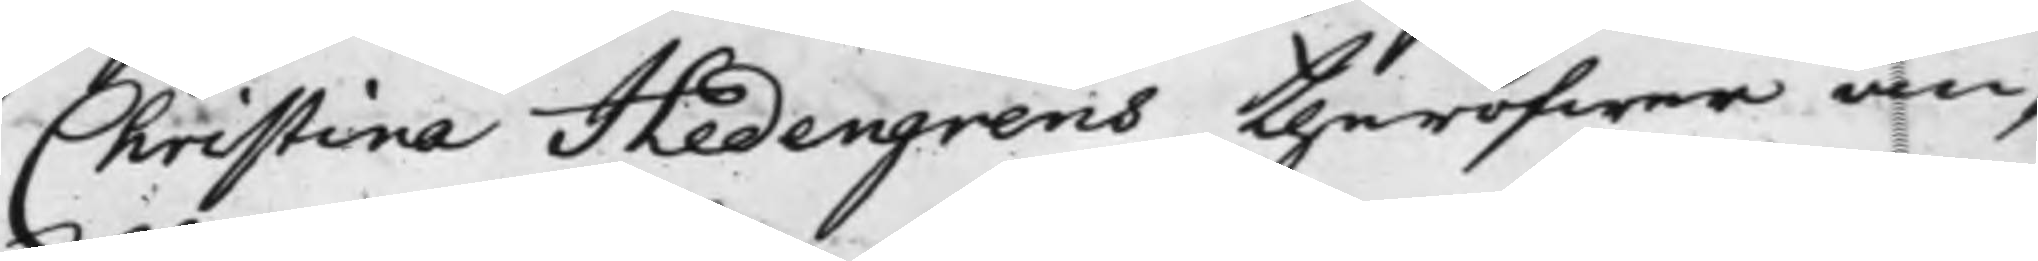Christina Hedengrens theröfwer an¬
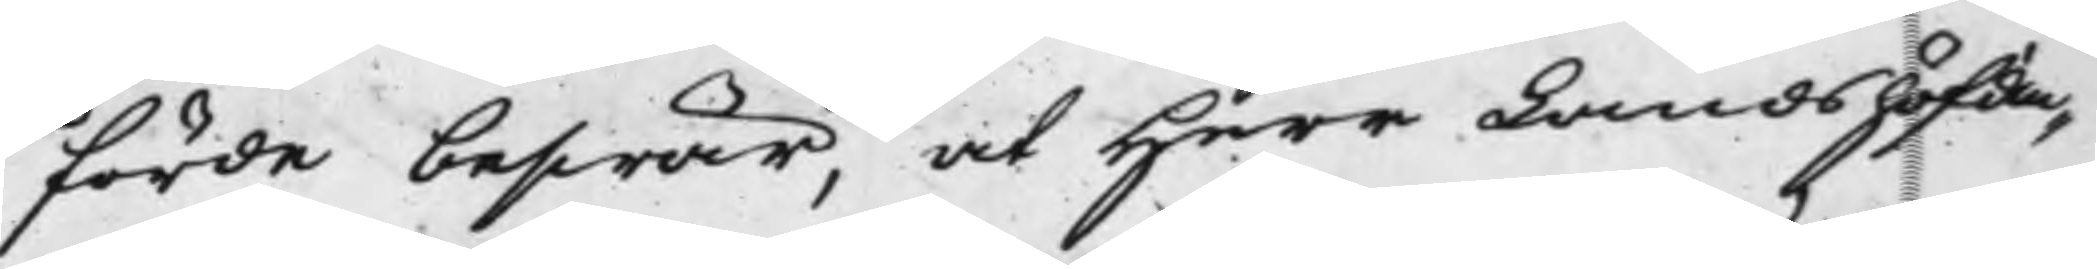förde beswär, at Herr Landshöfdin¬
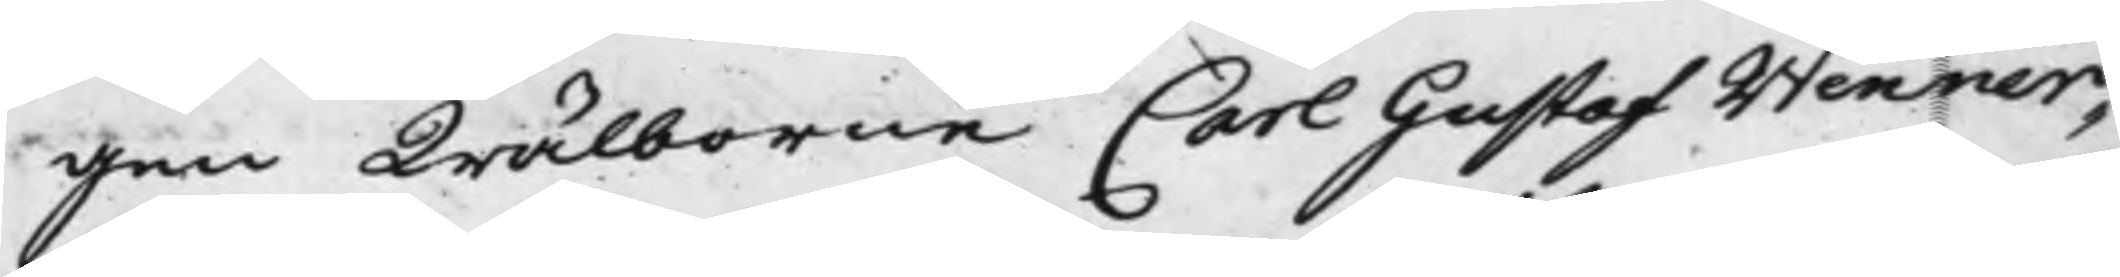gen Wälborne Carl Gustaf Wenner¬
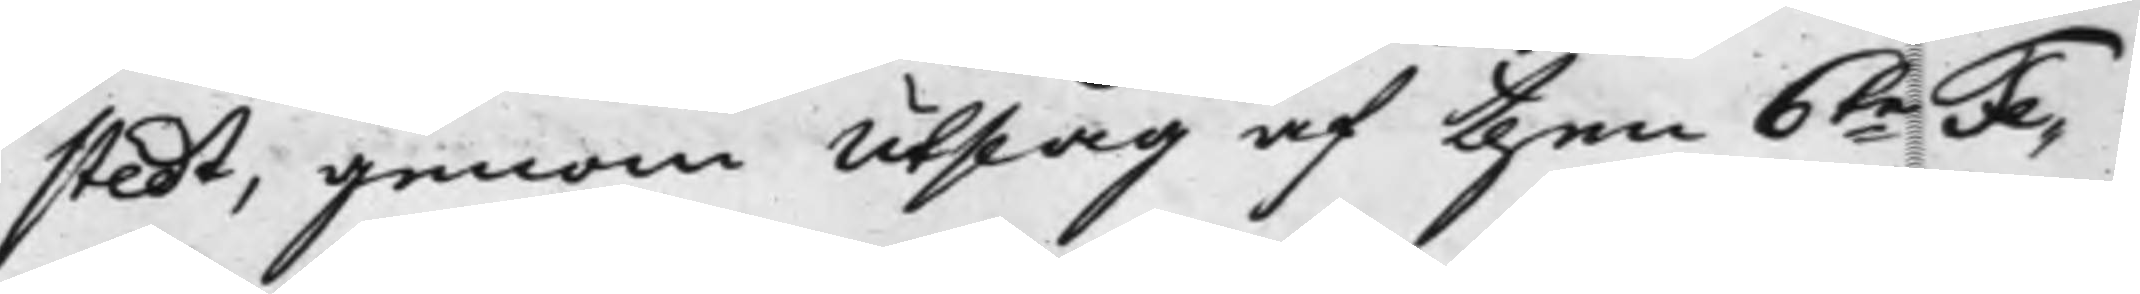stedt, genom Utslag af then 6te Fe¬
